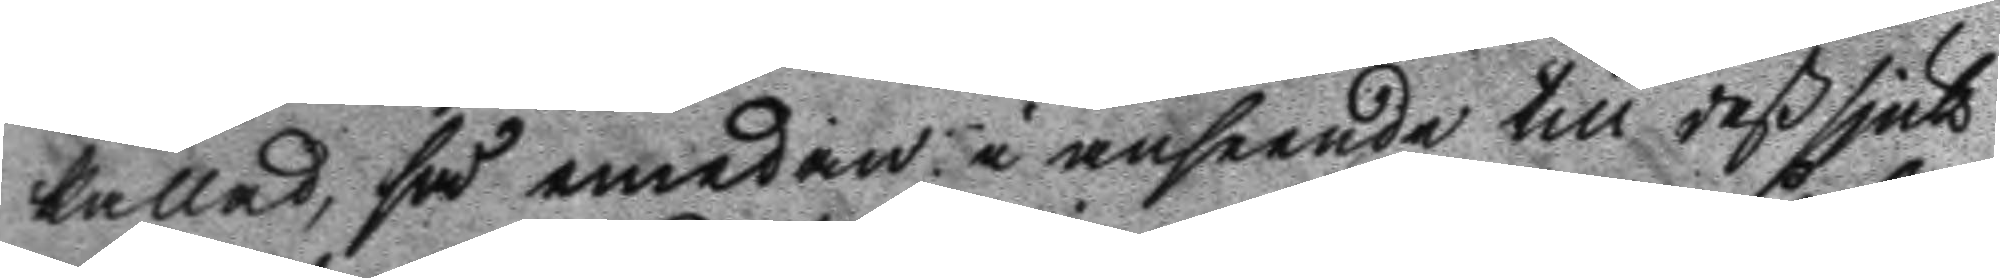kallad, så emedan i anseende till deß sjuk¬
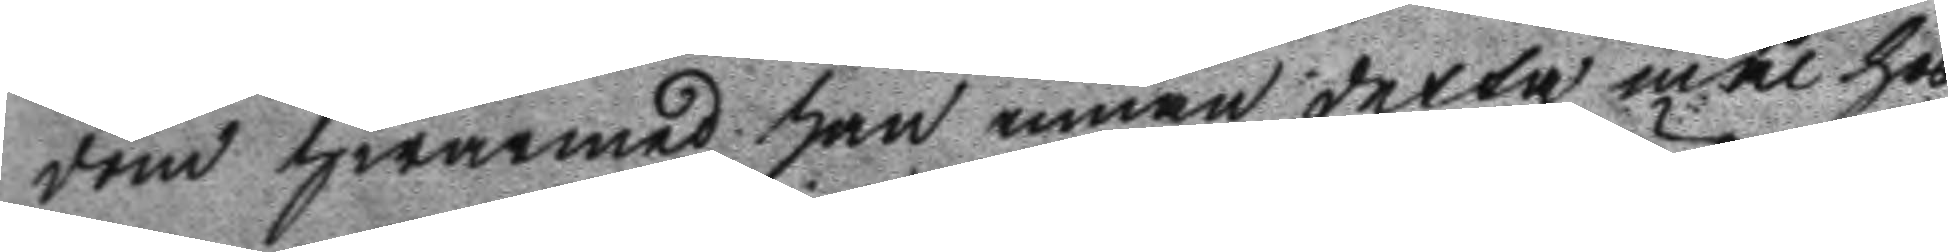dom hwarmed han innan detta mål hos
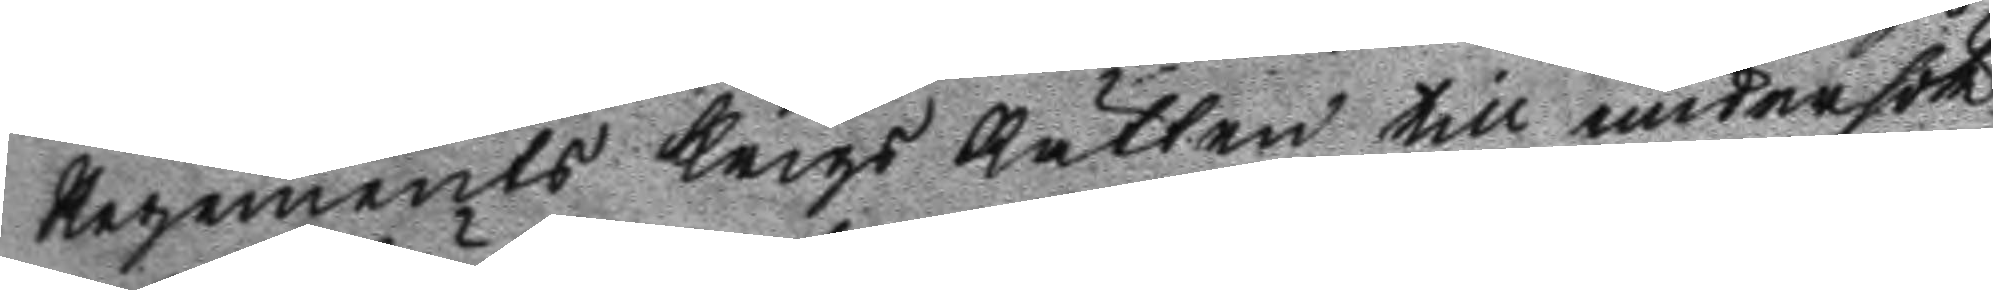Regements Krigs Rätten till undersök¬
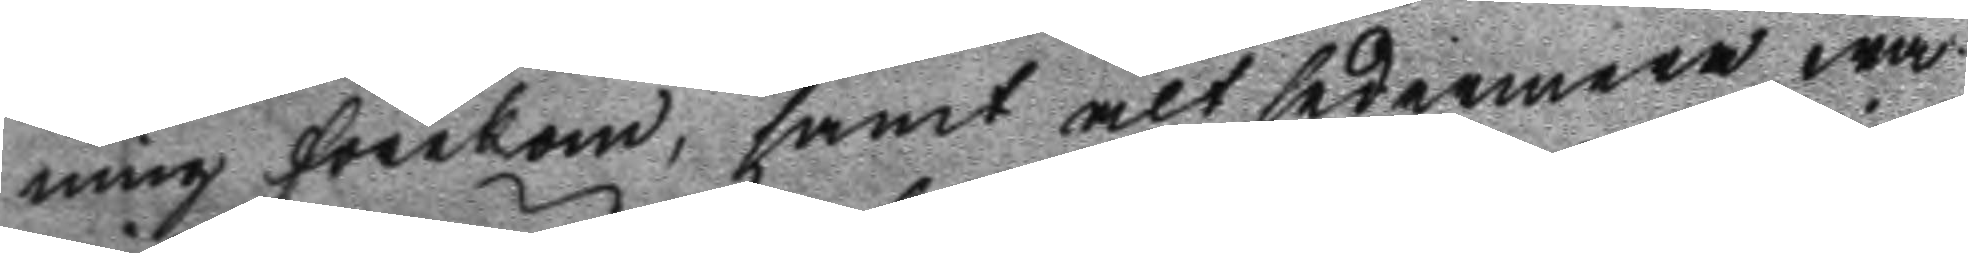ning förekom, samt alt sedermera wa¬
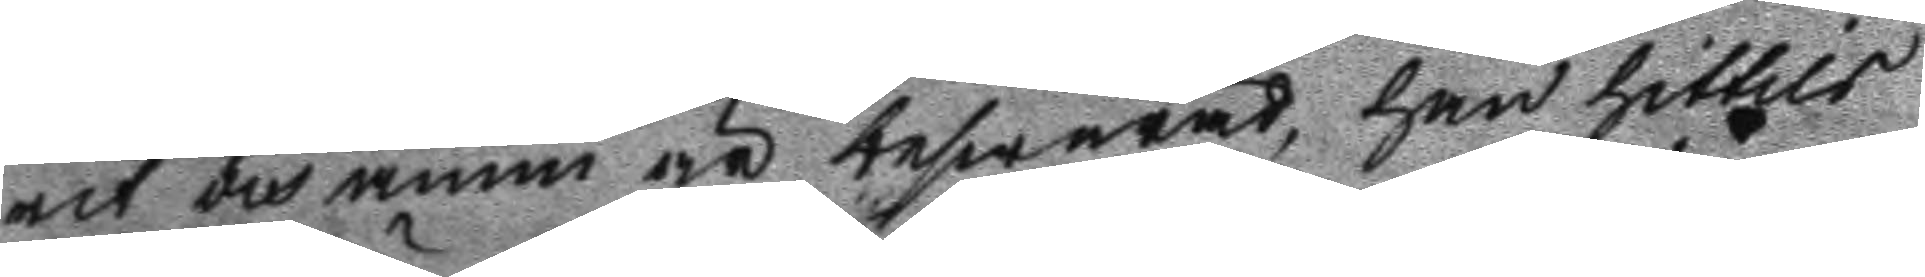rit och ännu är beswärad, han hittils
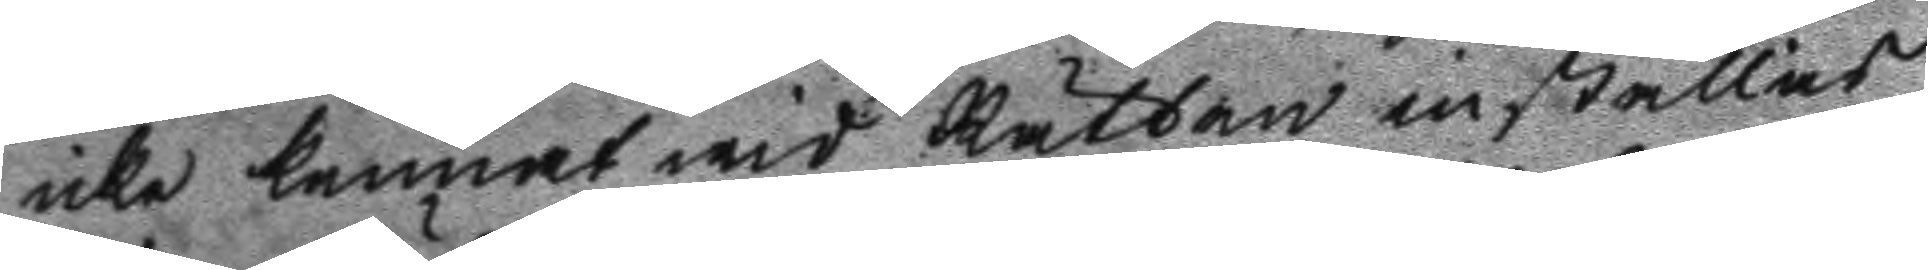icke kunnat wid Rätten inställas,
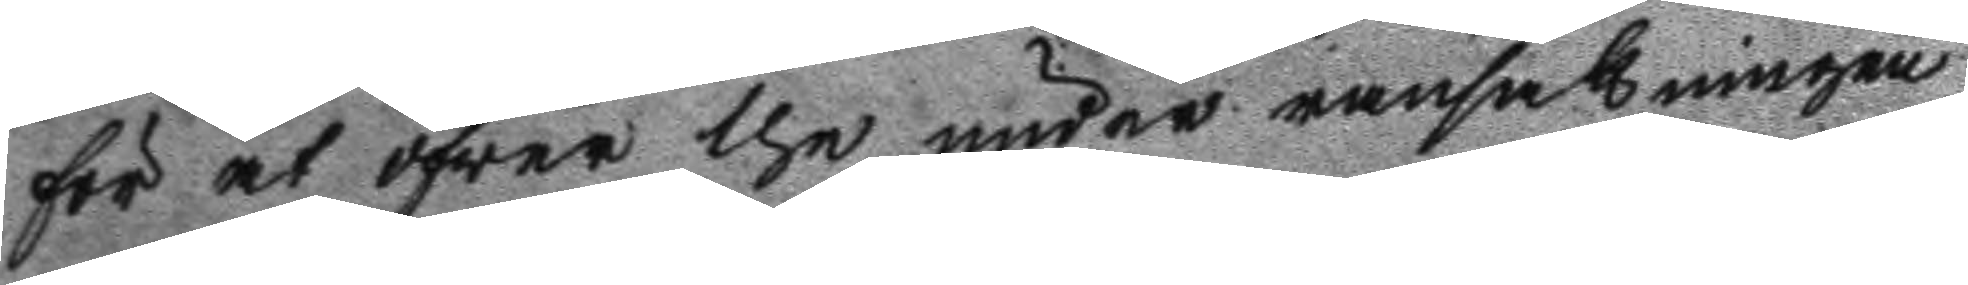för at öfwer the under ransakningen
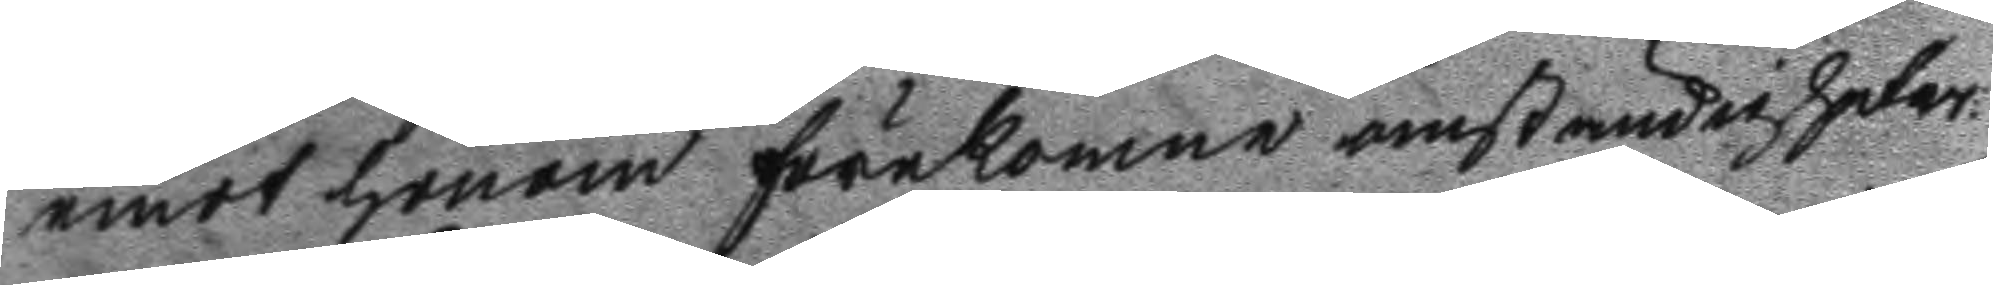emot honom förekomne omständigheter
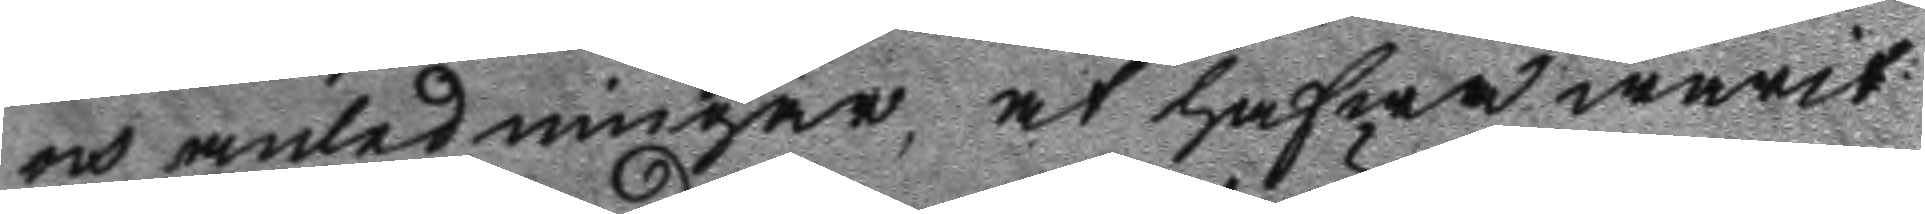och amledningar, at hafwa warit
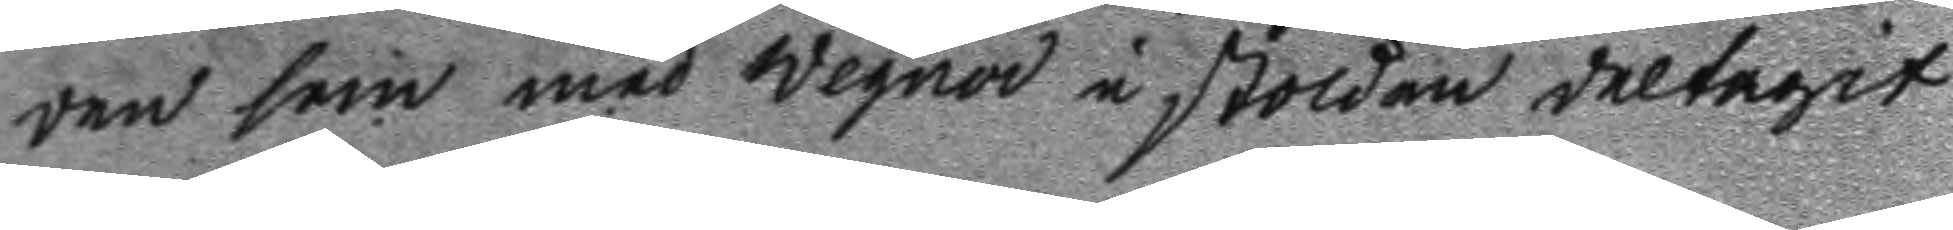den som med Wegner i stölden deltagit
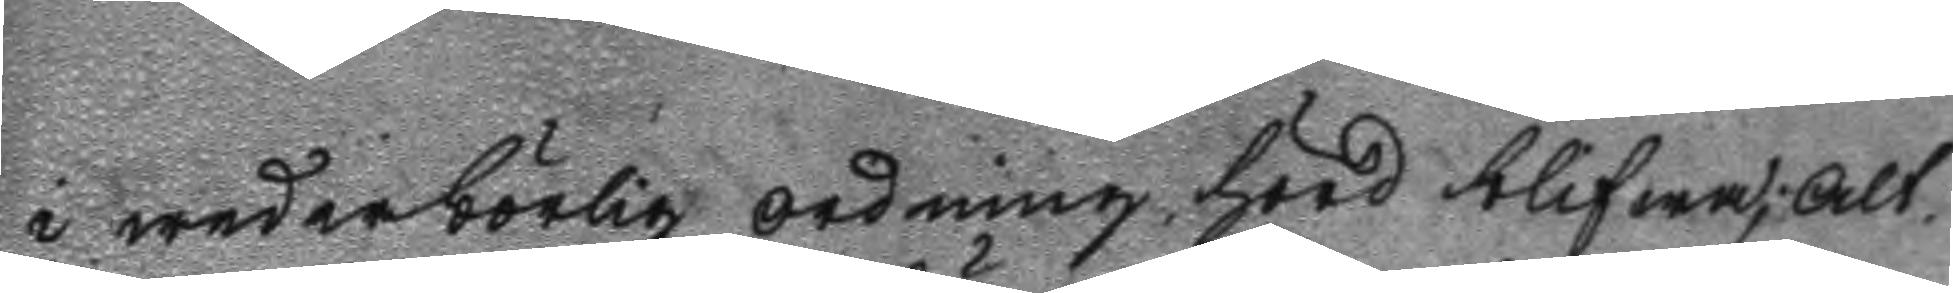i wederbörlig ordning hörd blifwa; Alt¬
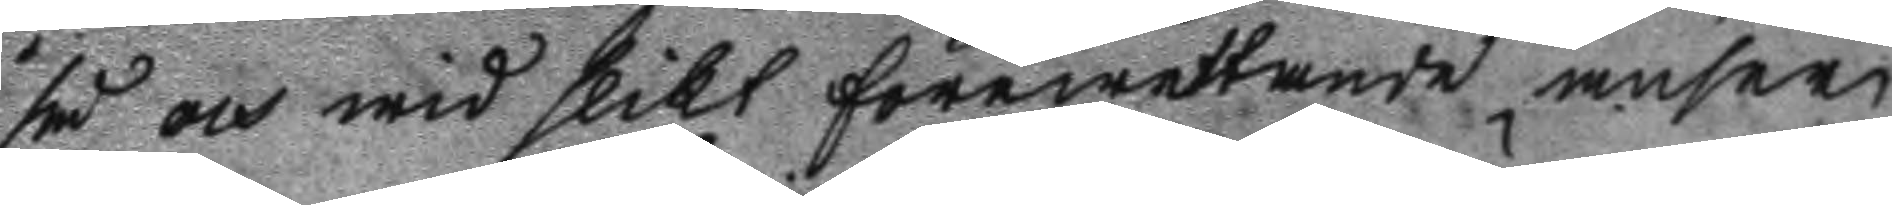så och wid slikt förewettande anser
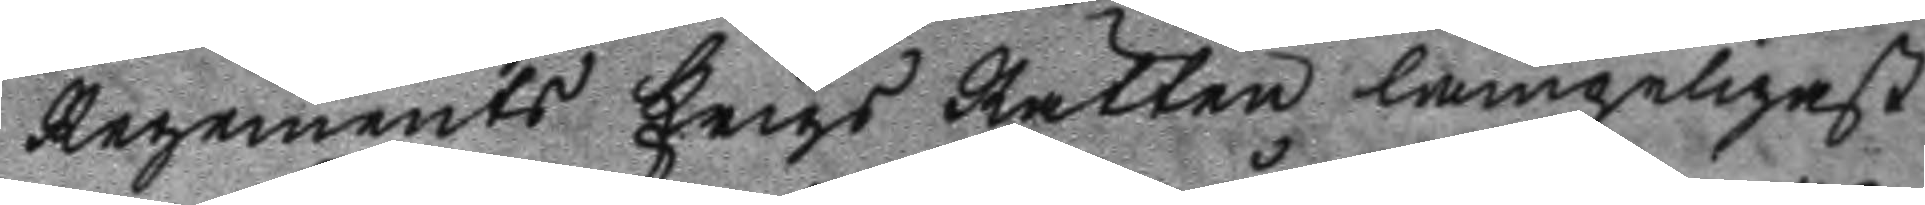Regements Krigs Rätten lämpeligast
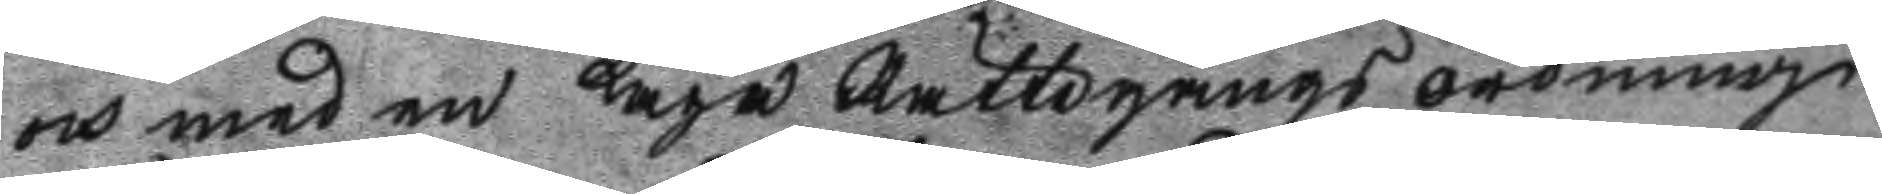och med en Laga Rättegångs ordning
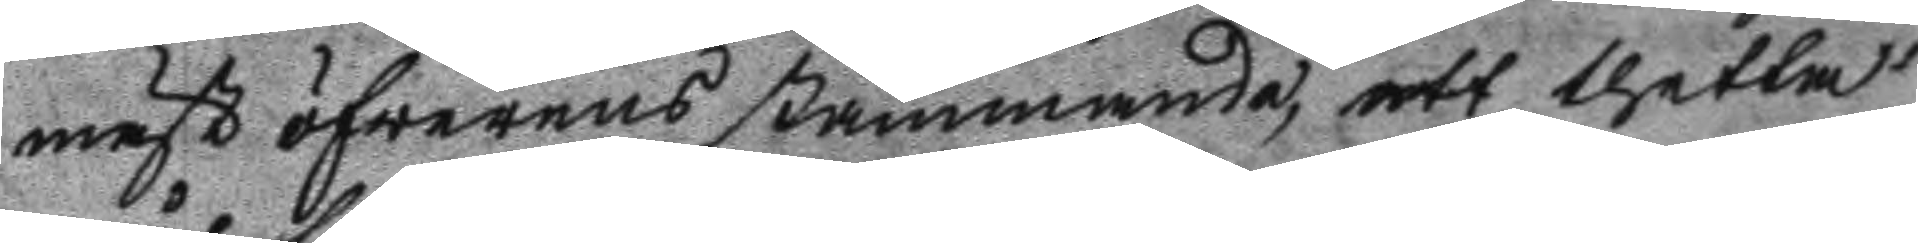mäst öfwerensstämmande, att thetta
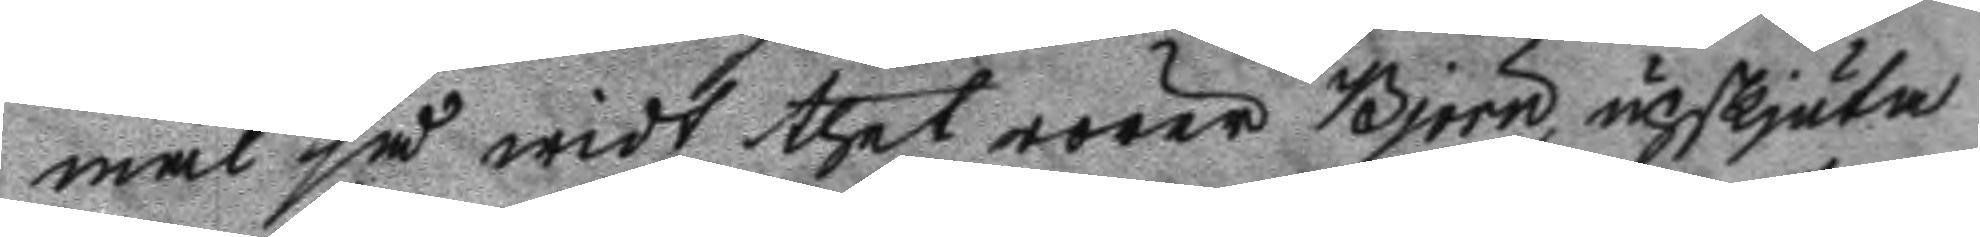mål så widt thet rörer Björn upskjuta
